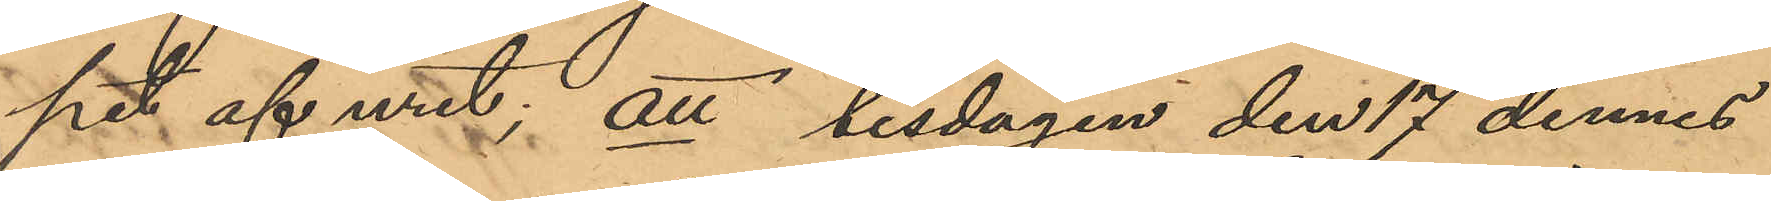pet af uret; att tisdagen den 17 dennes
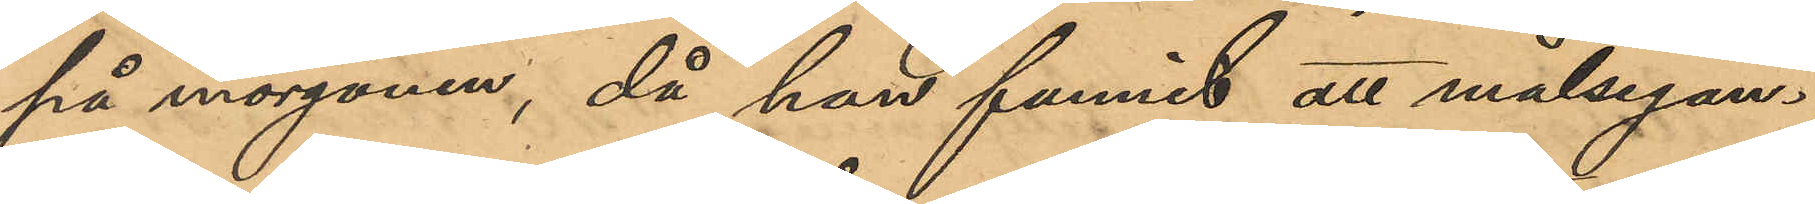på morgonen, då han funnit att målsegan¬
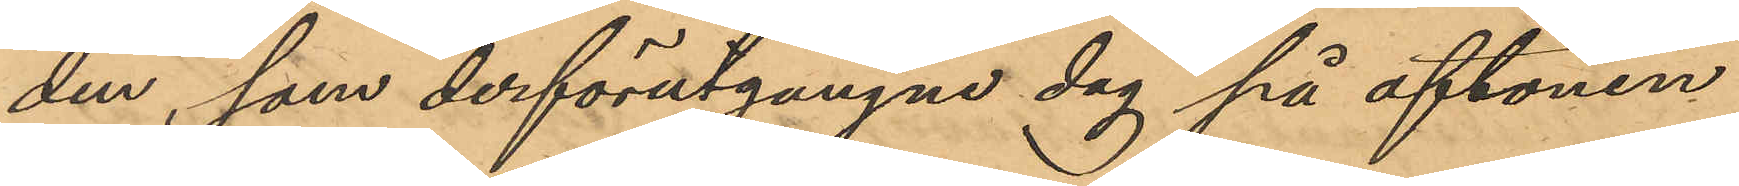den, som derförutgångne dag på aftonen
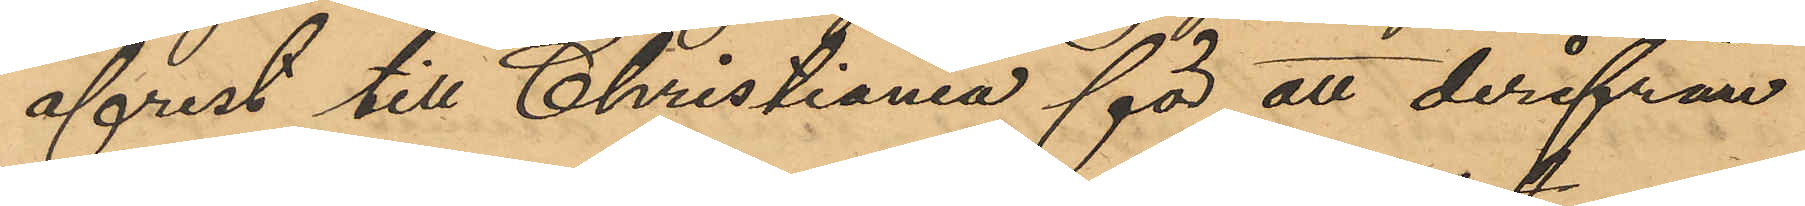afrest till Christiania för att derifrån
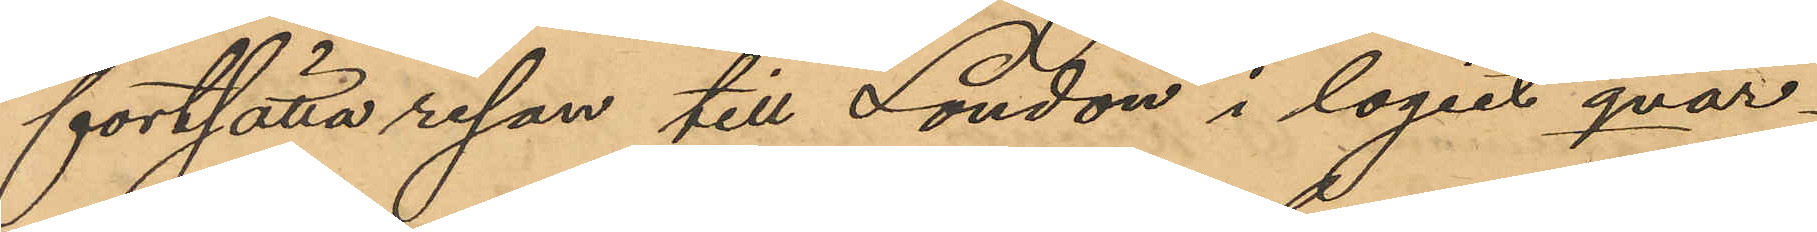fortsätta resan till London i logiet qvar¬
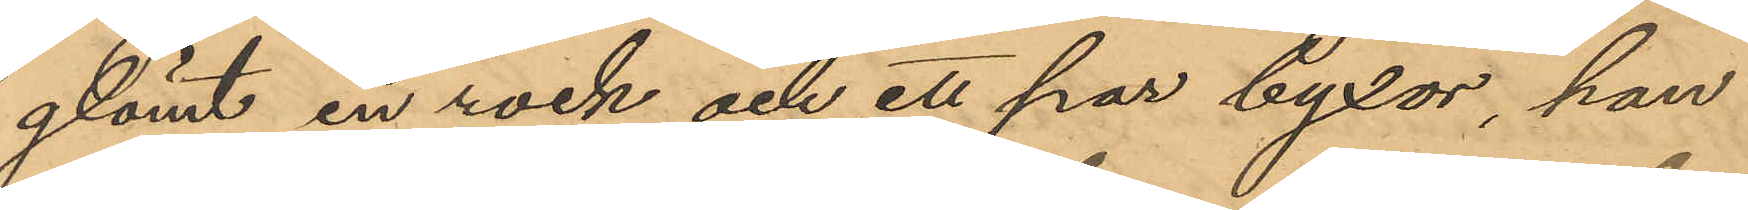glömt en rock och ett par byxor, han
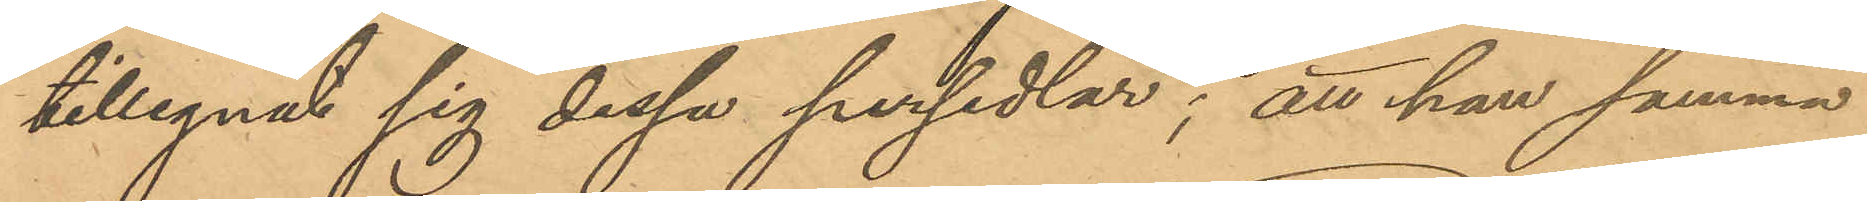tillegnat sig dessa persedlar; att han samma
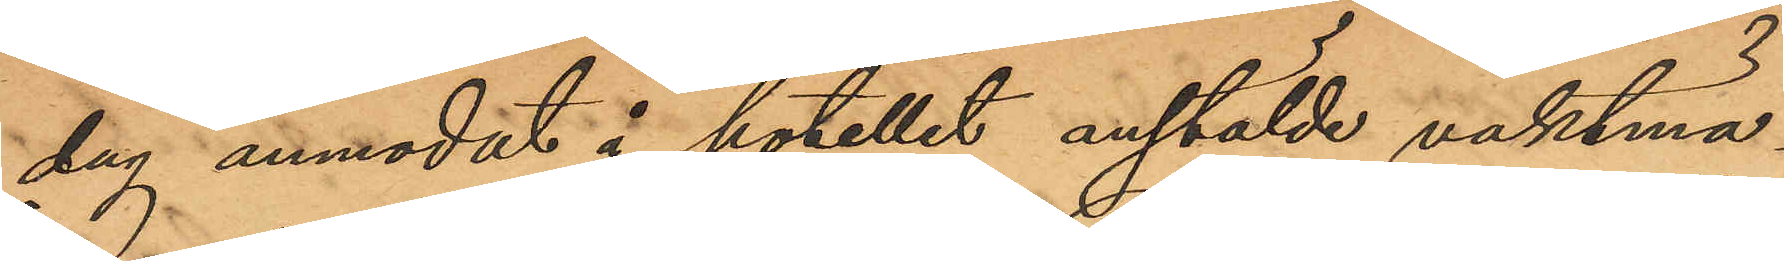dag anmodat i hotellet anstälde vaktmäs¬
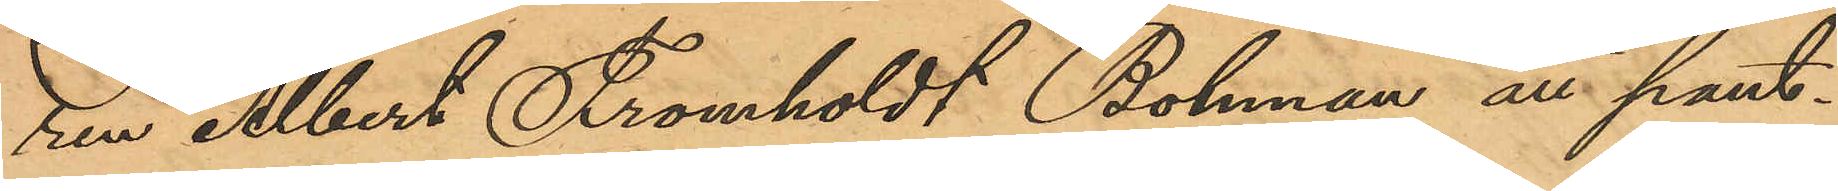ren Albert Fromholdt Bohman att pant¬
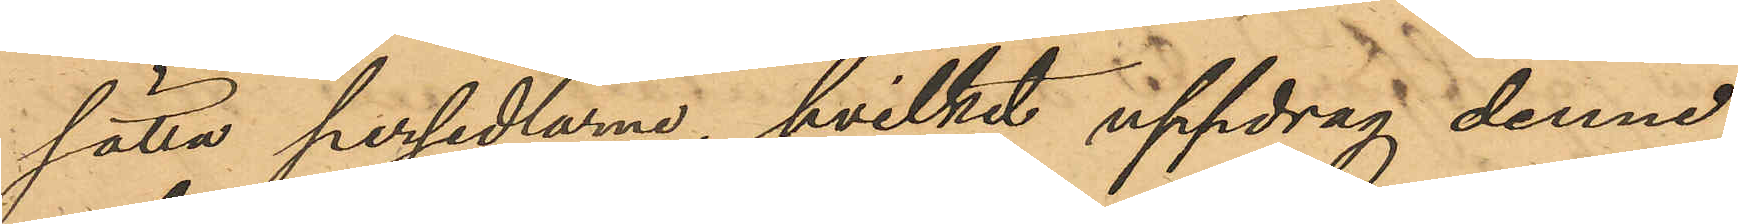sätta persedlarne, hvilket uppdrag denne
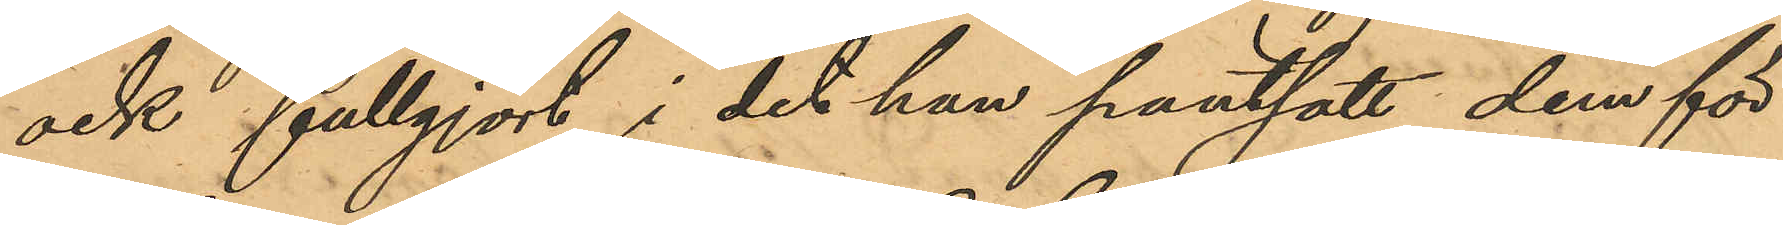ock fullgjort i det han pantsatt dem för
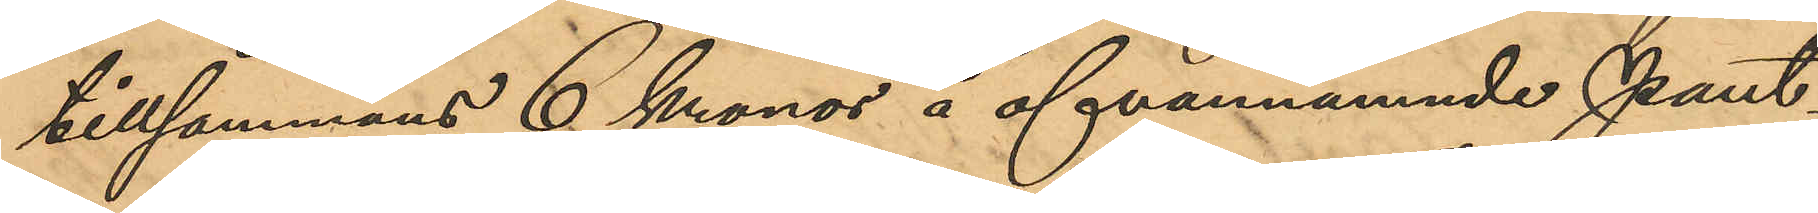tillsammans 6 kronor å ofvannämnde Pant¬
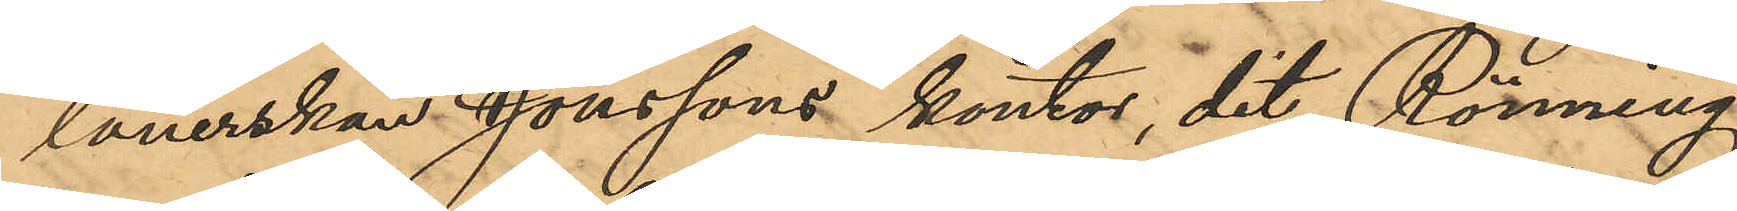lånerskan Jonssons kontor, dit Rönning
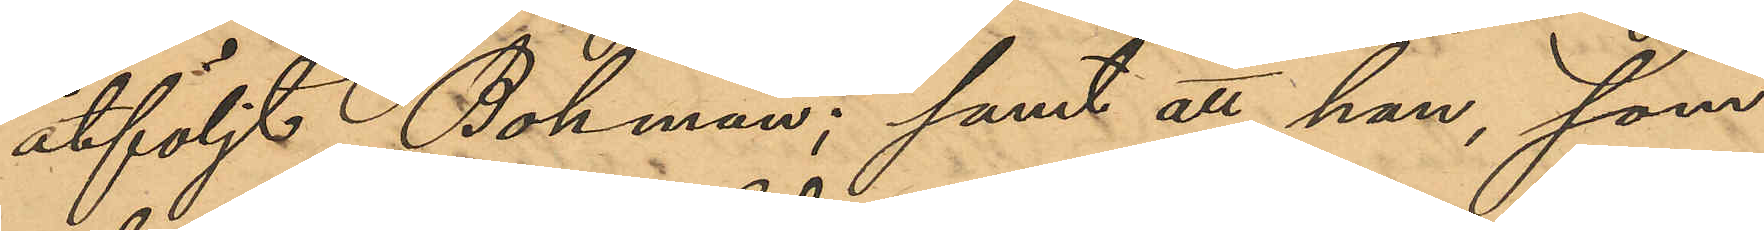åtföljt Bohman; samt att han, som
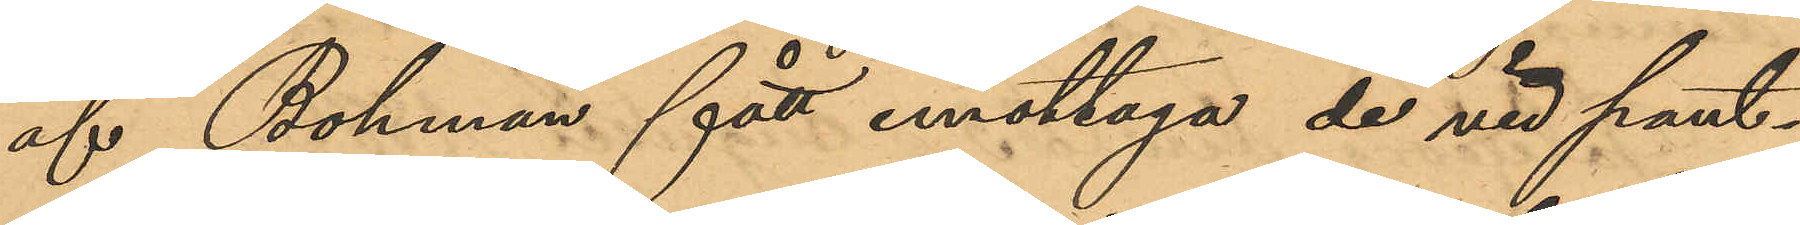af Bohman fått emottaga de vid pant¬
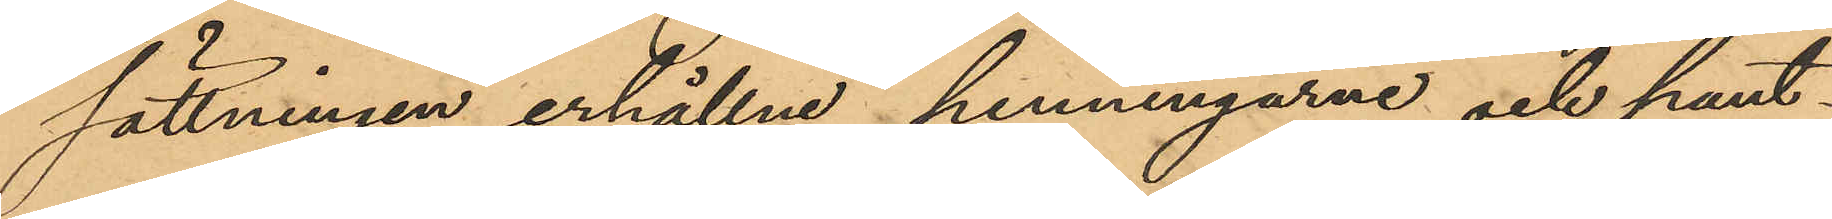sättningen erhållne penningarne och pant¬
